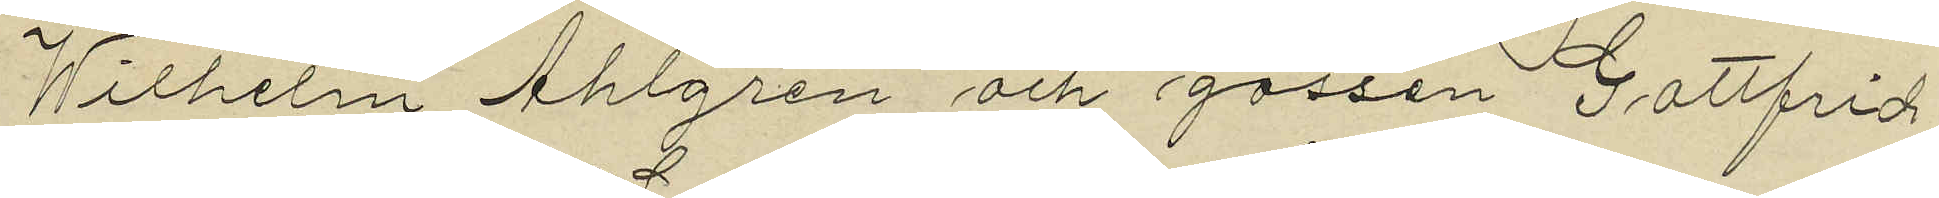Wilhelm Ahlgren och gossen Gottfrid
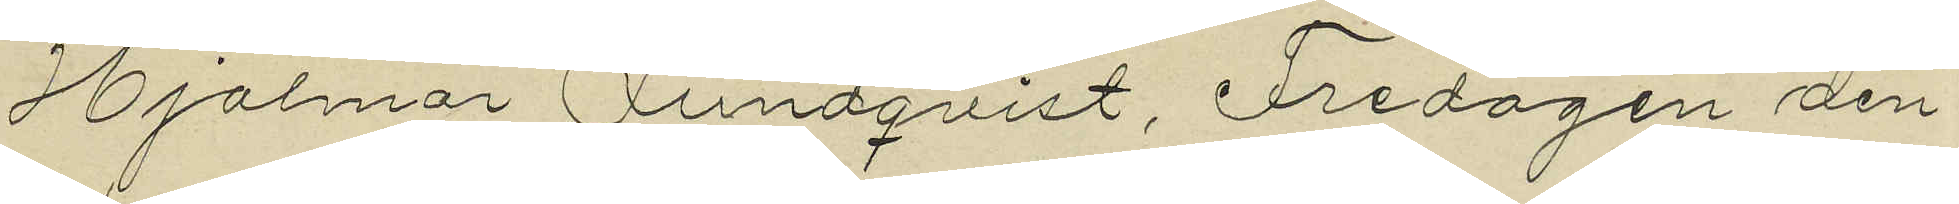Hjalmar Lundqvist, Fredagen den
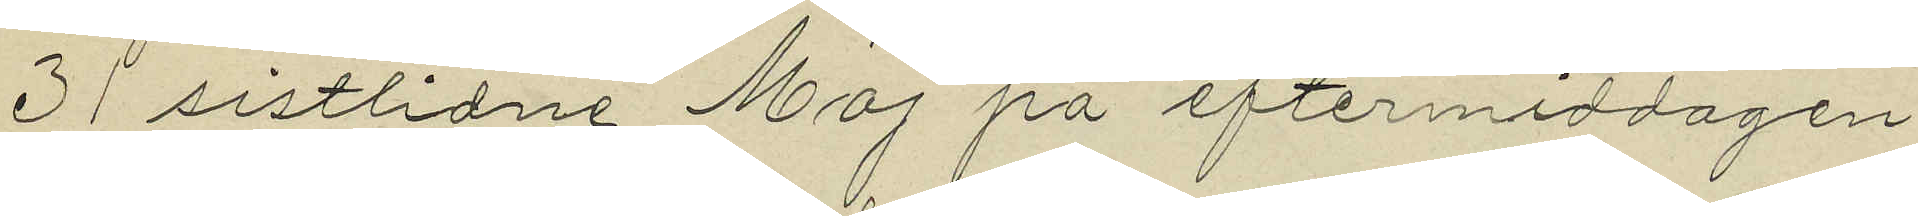31 sistlidne Maj på eftermiddagen
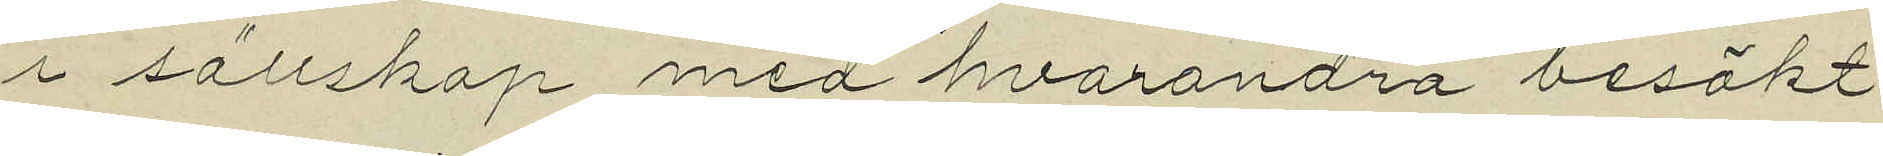i sällskap med hvarandra besökt
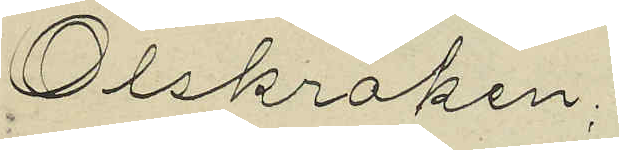Olskroken;
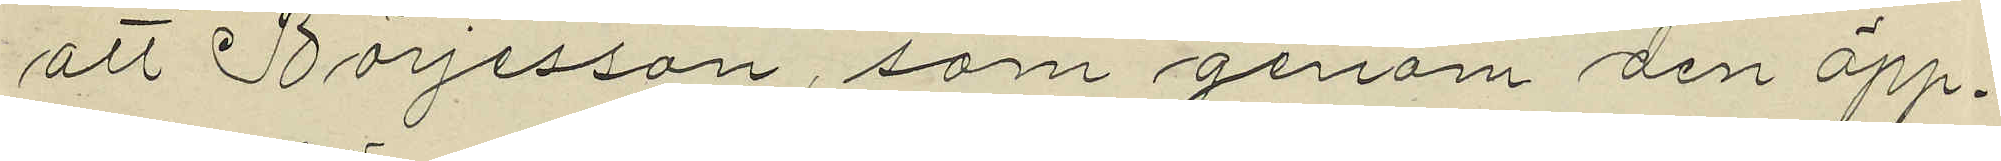att Börjesson, som genom den öpp¬
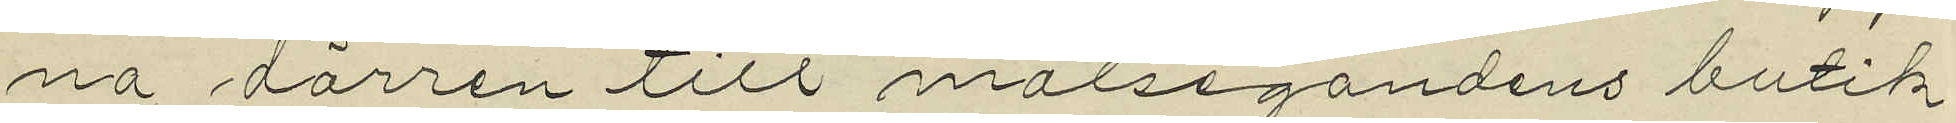na dörren till målsegandens butik
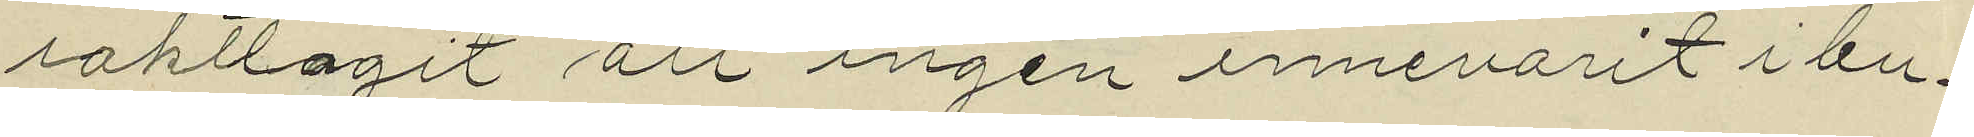iakttagit att ingen innevarit i bu¬
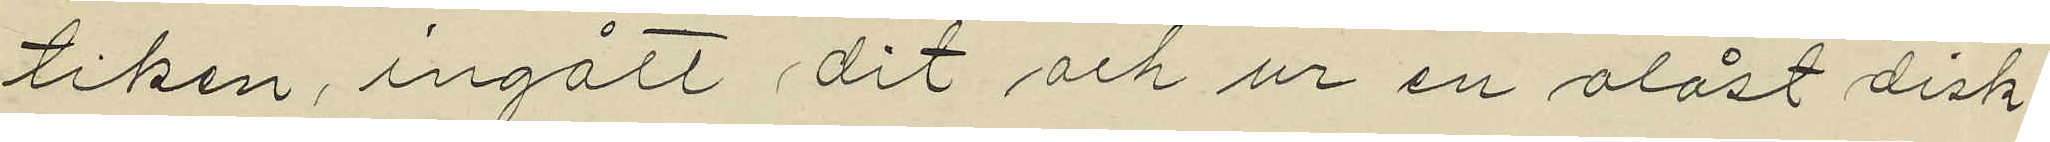tiken, ingått dit och ur en olåst disk¬
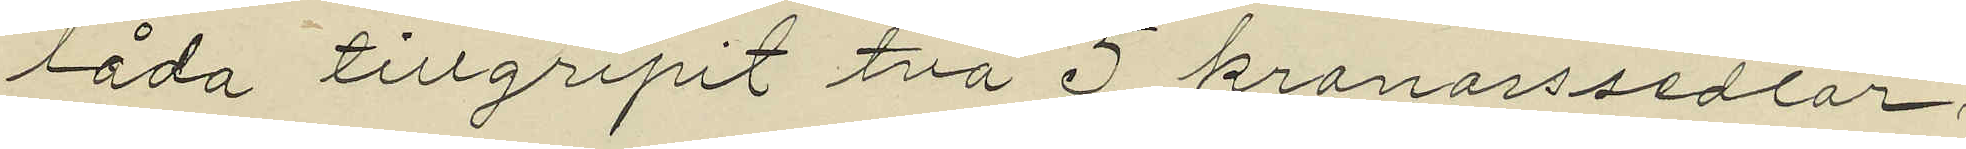låda tillgripit två 5 kronorssedlar;
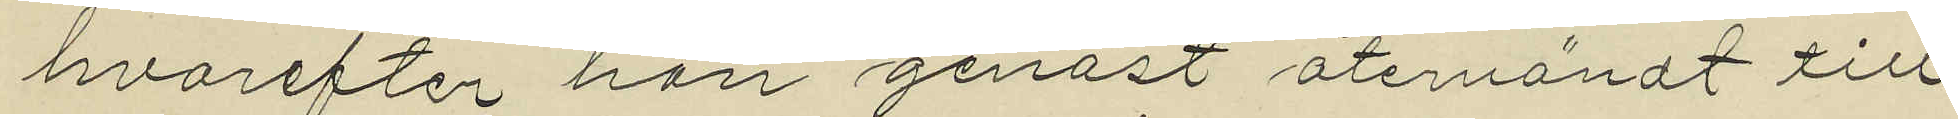hvarefter han genast återvändt till
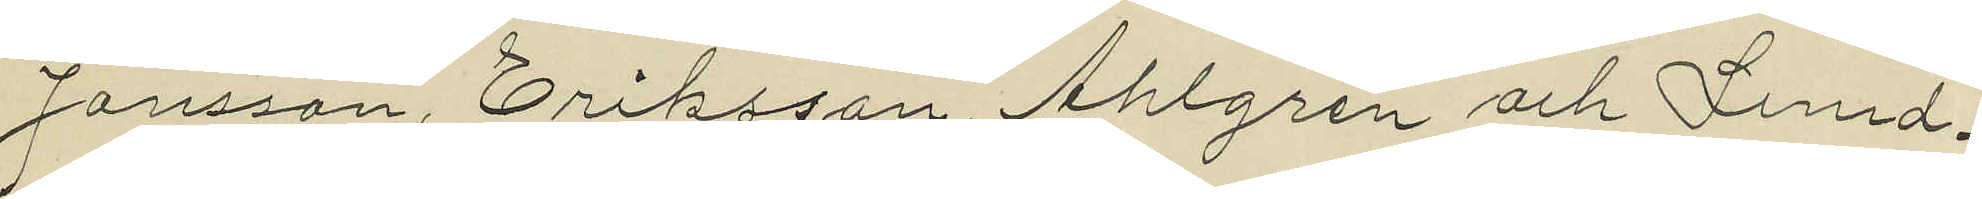Jansson, Eriksson, Ahlgren och Lund¬
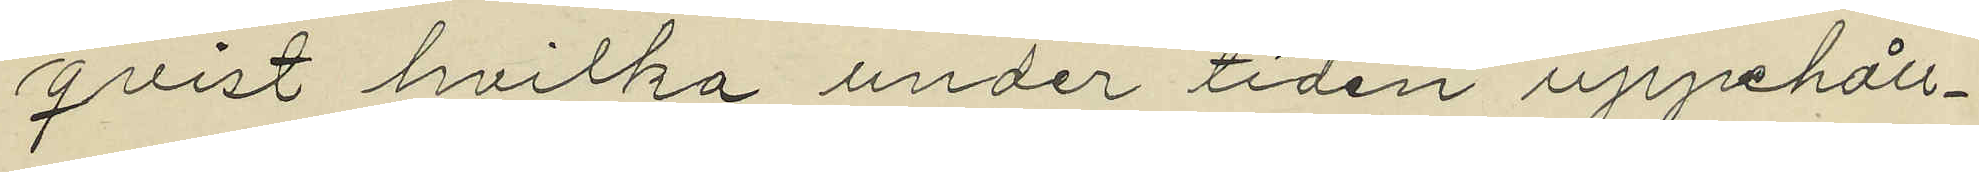qvist hvilka under tiden uppehåll¬
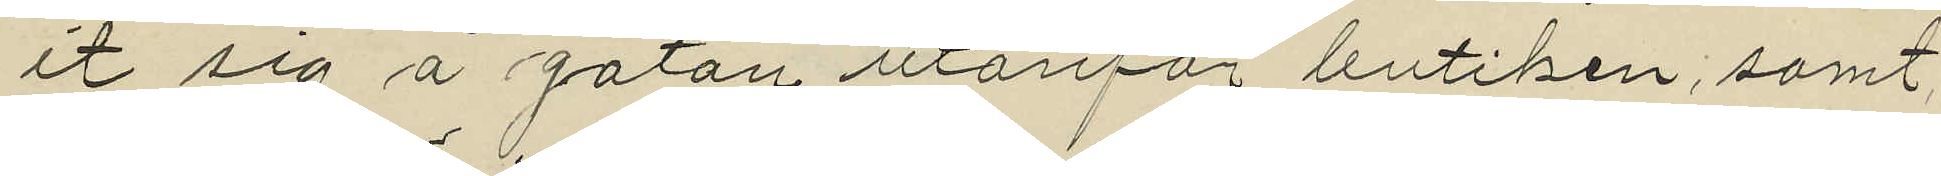it sig å gatan utanför butiken; samt
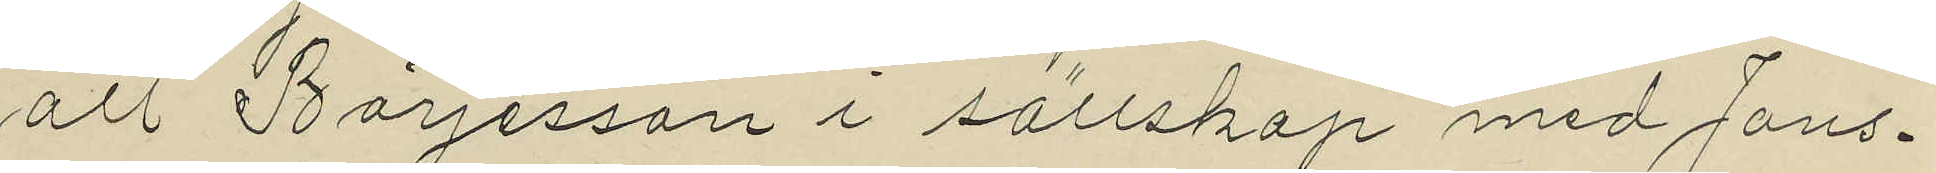att Börjesson i sällskap med Jans¬
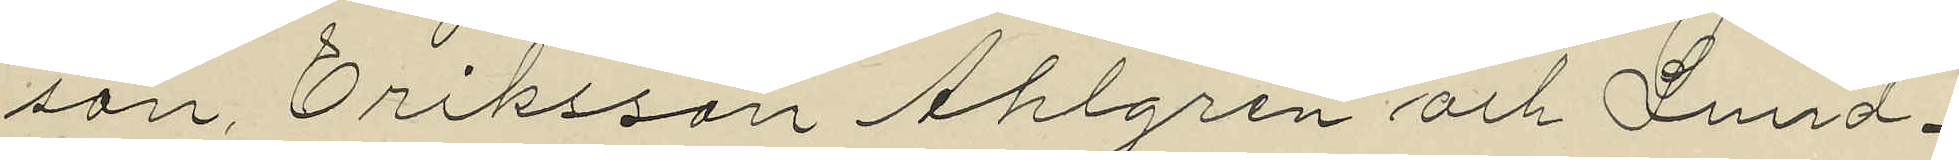son, Eriksson Ahlgren och Lund¬
